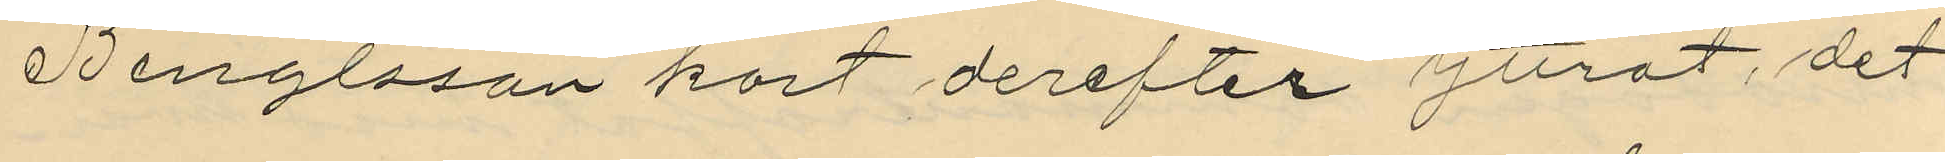Bengtsson kort derefter yttrat, det
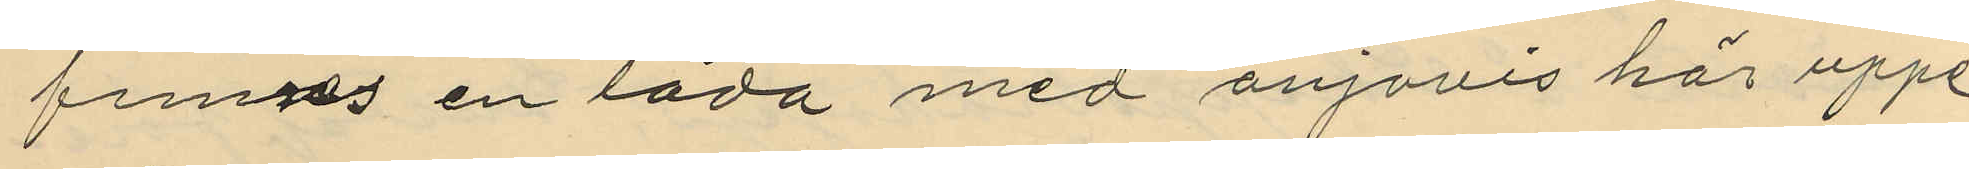finnes en låda med anjovis här uppe,
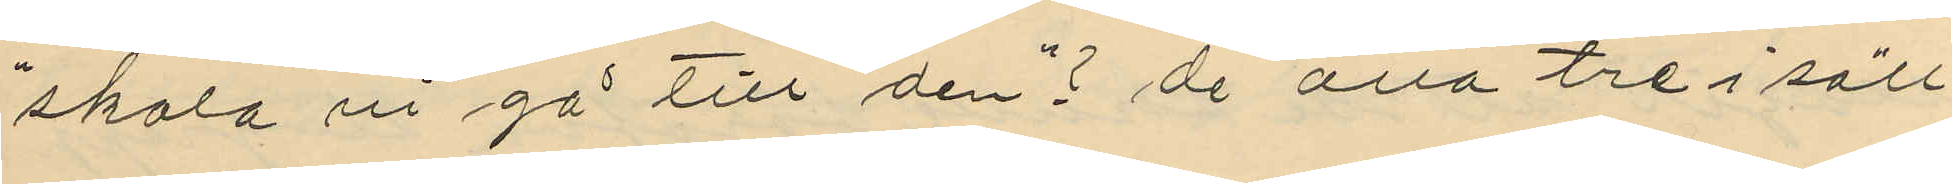"skola vi gå till den"? de alla tre i säll¬
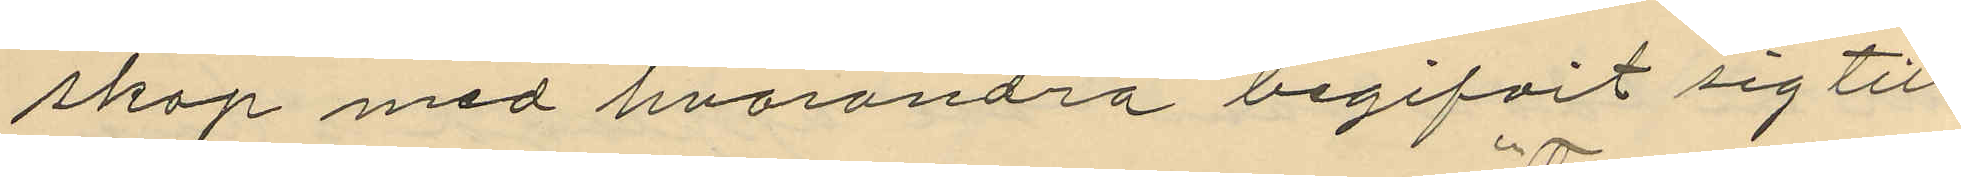skap med hvarandra begifvit sig till
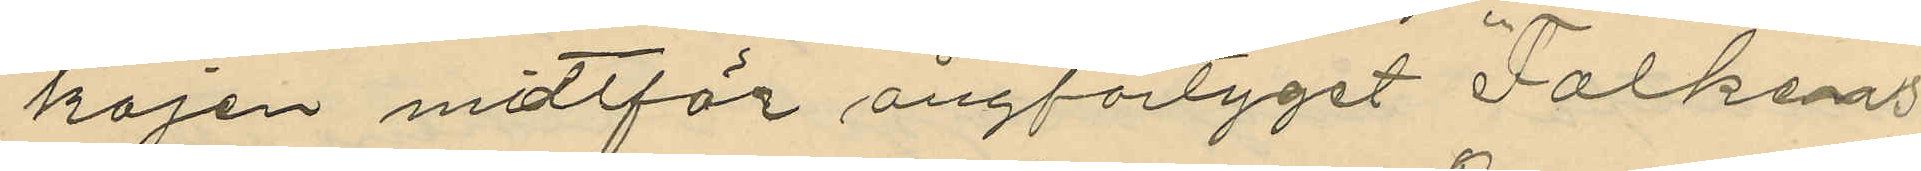kajen mittför ångfartyget "Falkens"
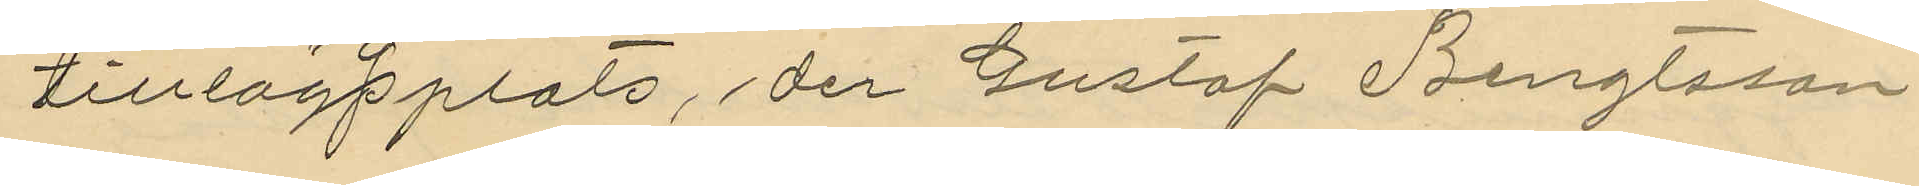tilllägsplats, der Gustaf Bengtsson
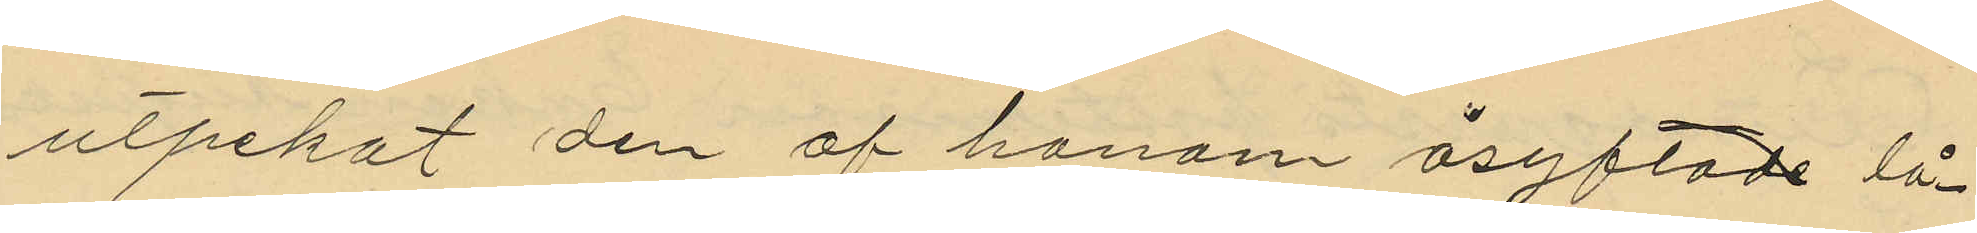utpekat den af honom åsyftade lå¬
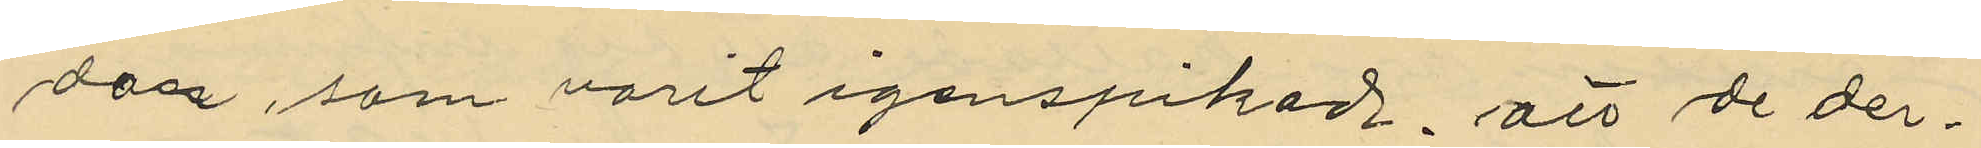dan, som varit igenspikad, att de der¬
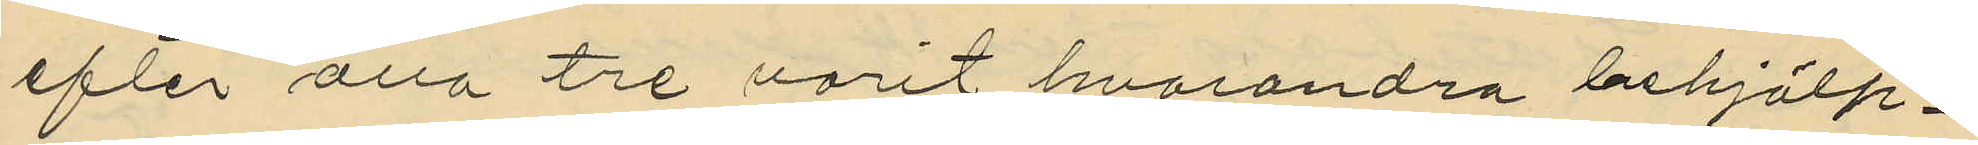efter alla tre varit hvarandra behjälp¬
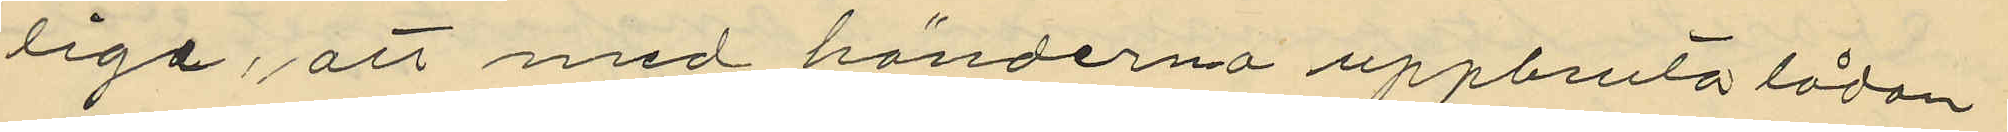liga, att med händerna uppbruta lådan
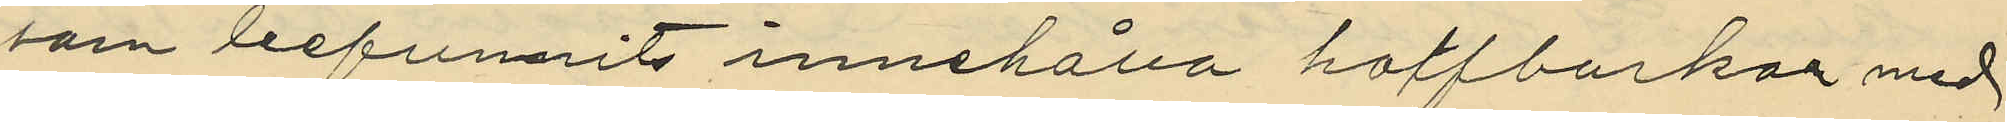som befunnits innehålla halfburkar med
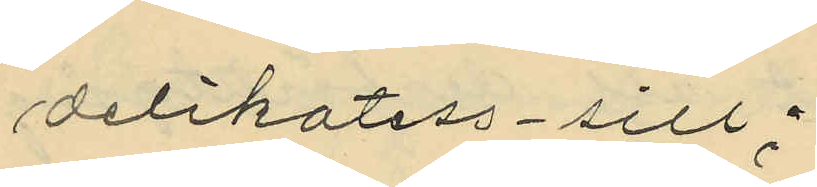delikatess-sill;
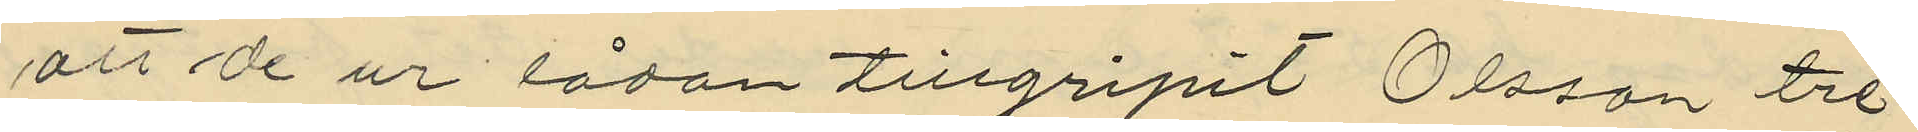att de ur lådan tillgripit Olsson tre
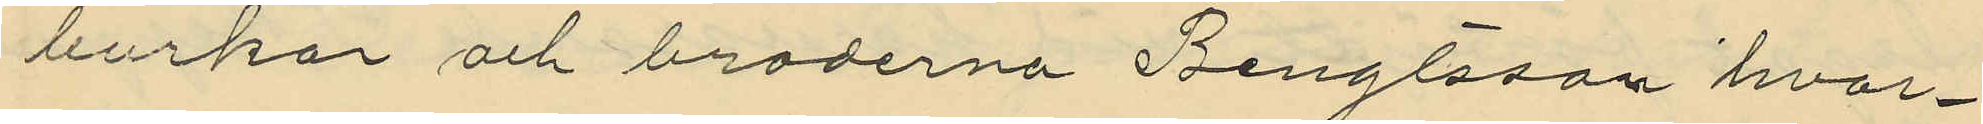burkar och bröderna Bengtsson hvar¬
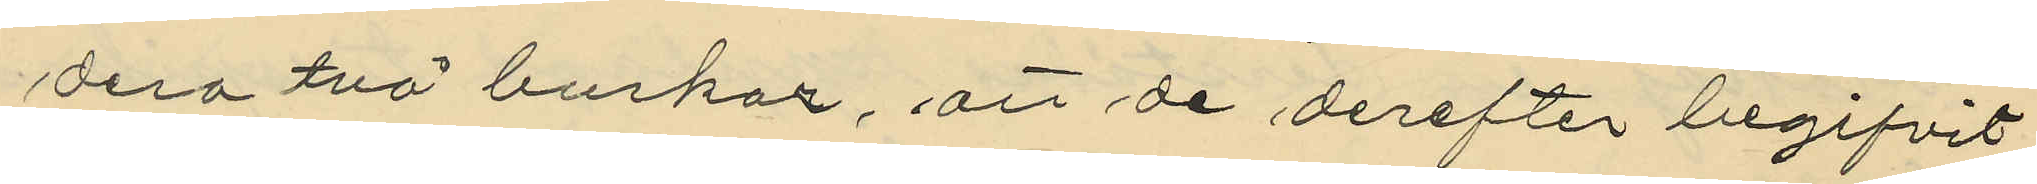dera två burkar, att de derefter begifvit
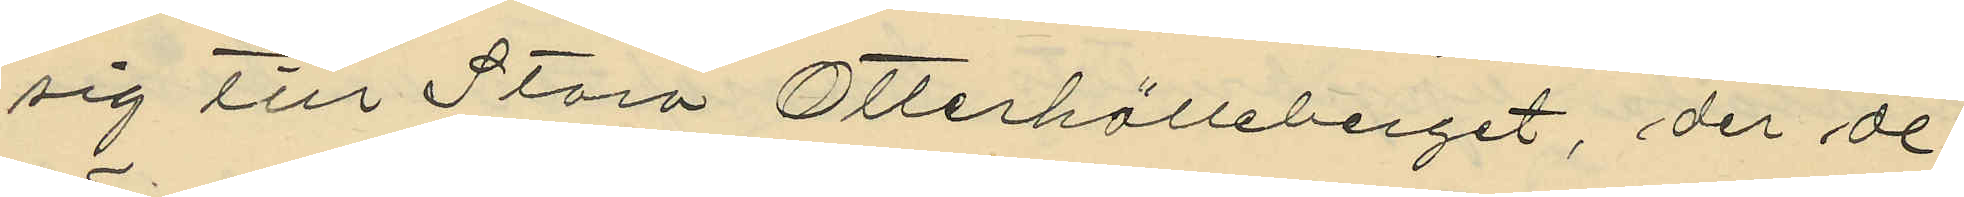sig till Stora Otterhälleberget, der de
